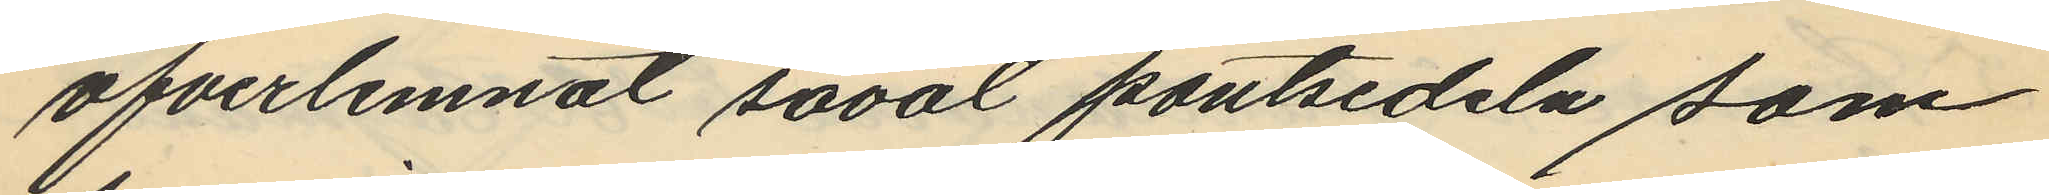öfverlemnat såväl pantsedeln som
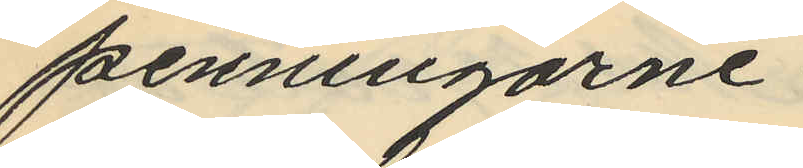penningarne.
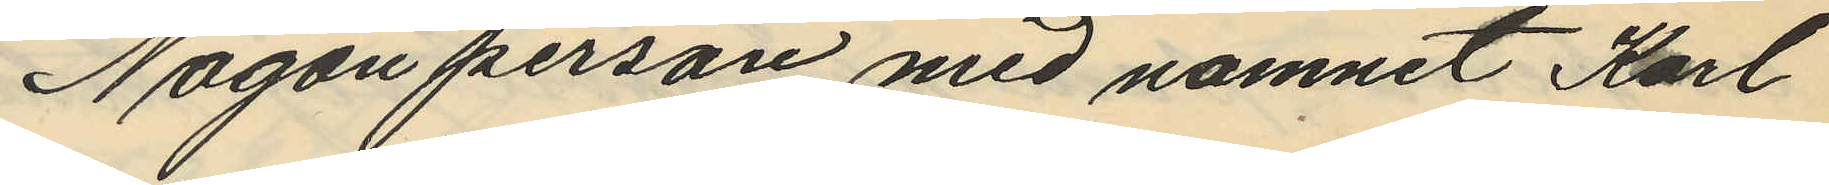Någon person med namnet Karl
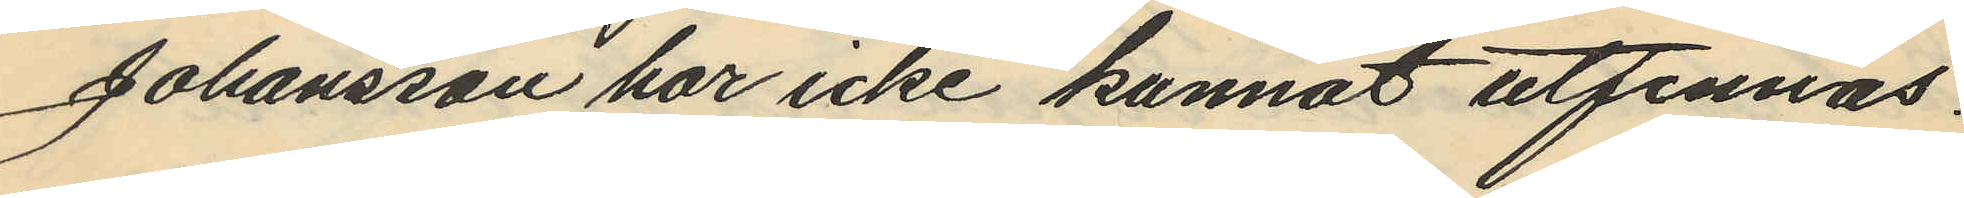Johansson har icke kunnat utfinnas.
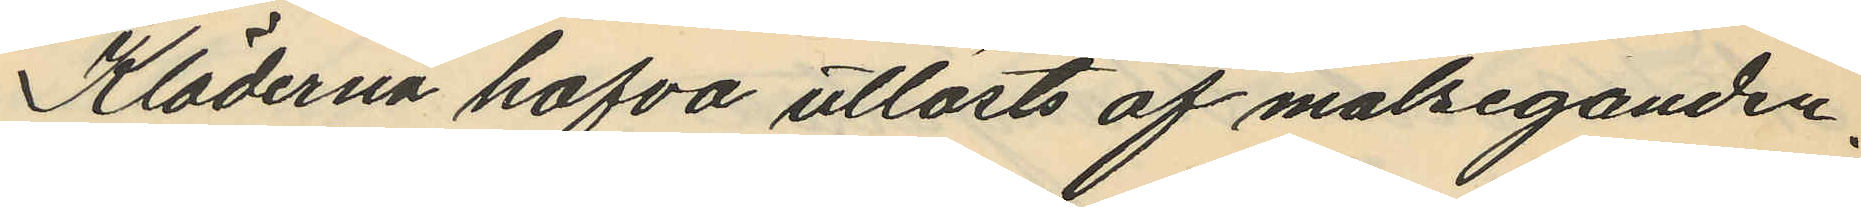Kläderna hafva utlösts af målseganden.
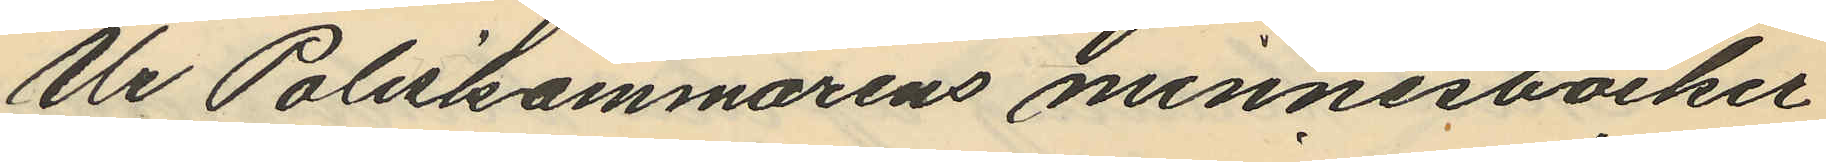Ur Poliskammarens minnesböcker
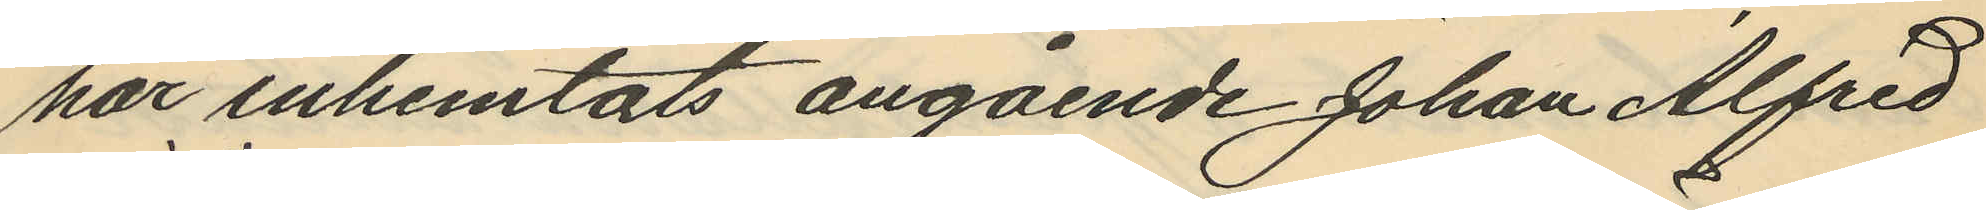har inhemtats angående Johan Alfred
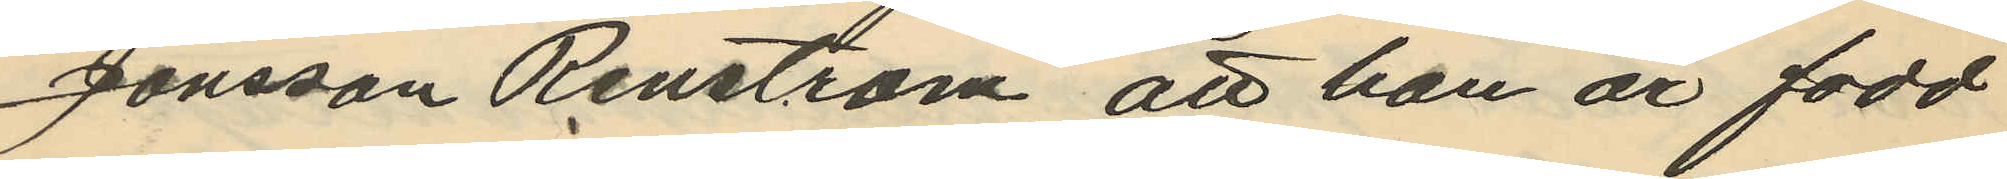Jönsson Renström, att han är född
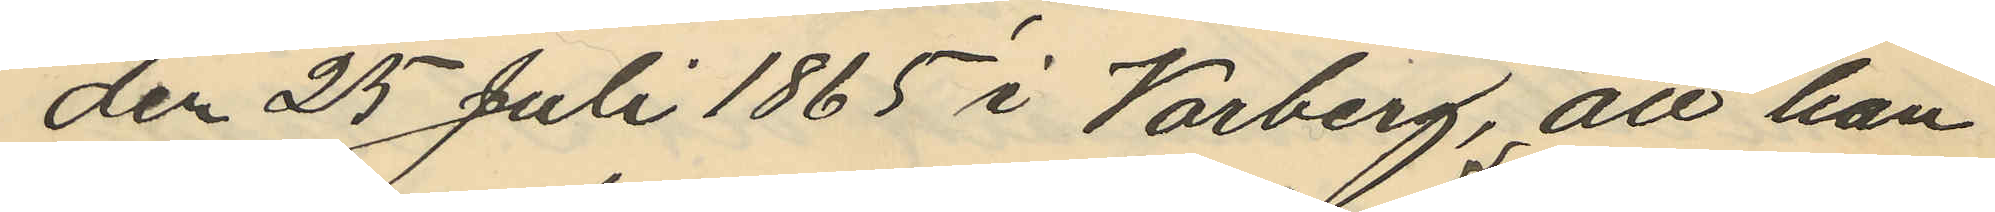den 25 Juli 1865 i Varberg, att han
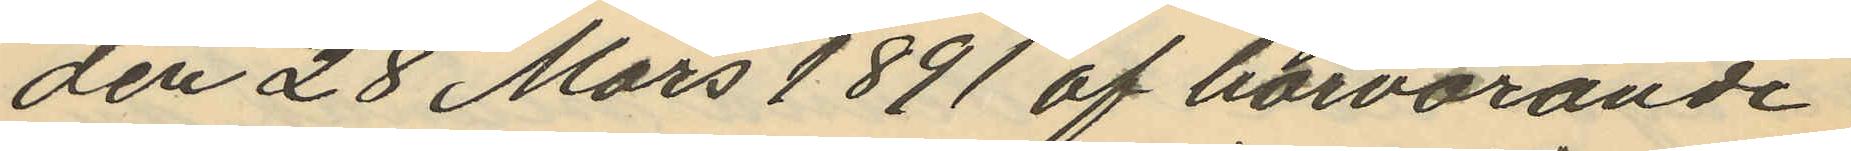den 28 Mars 1891 af härvarande
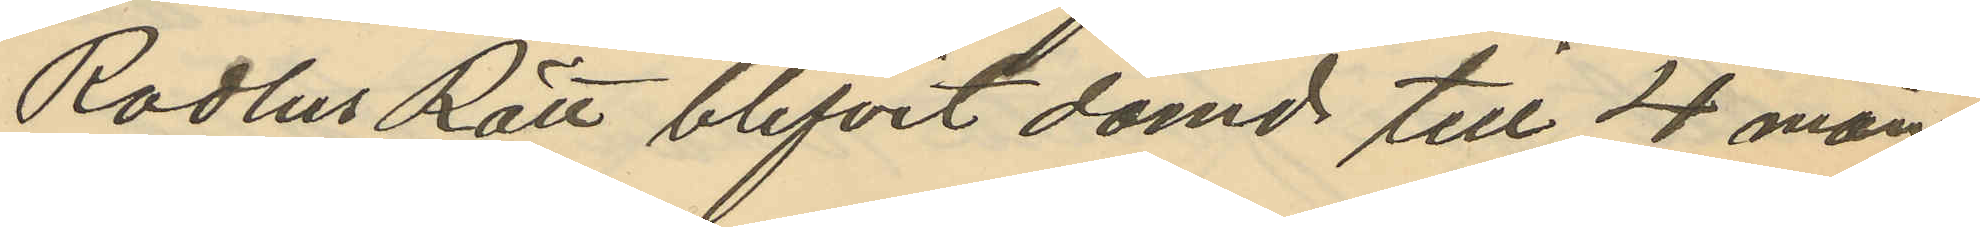Radhus Rätt blifvit dömd till 4 mån
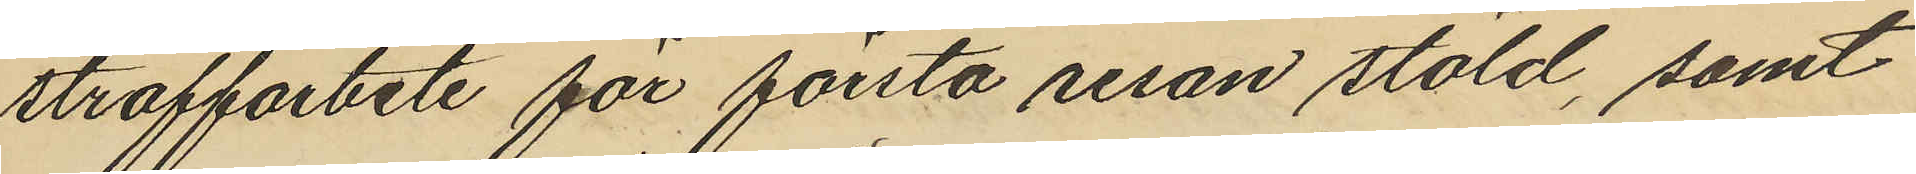straffarbete för första resan stöld, samt
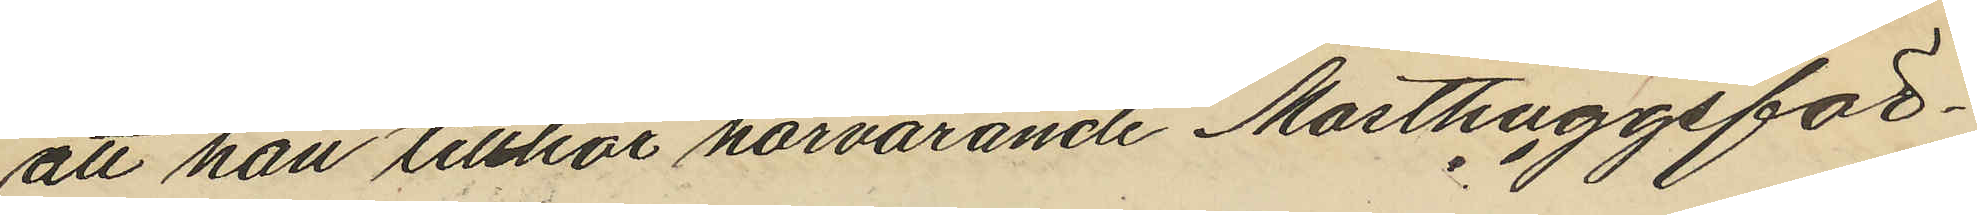att han tillhör härvarande Masthuggsför¬
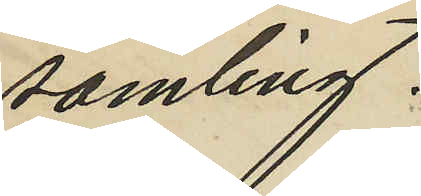samling.
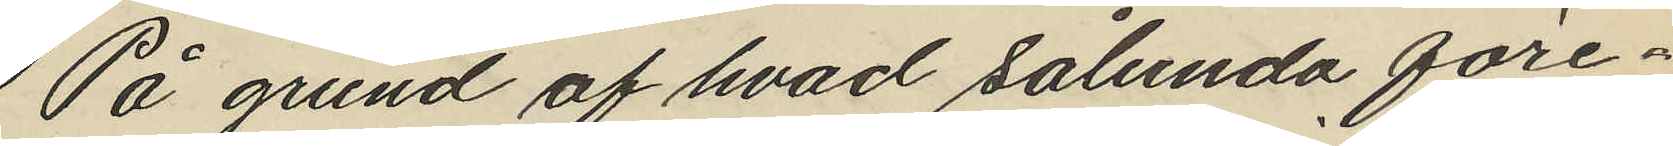På grund af hvad sålunda före¬
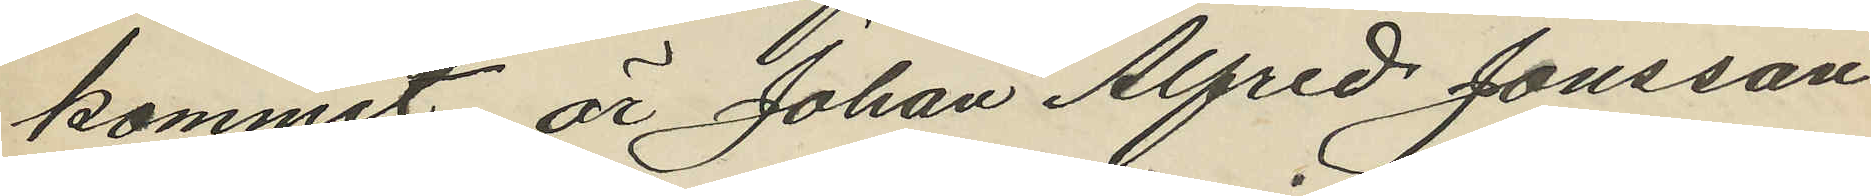kommit är Johan Alfred Jönsson
